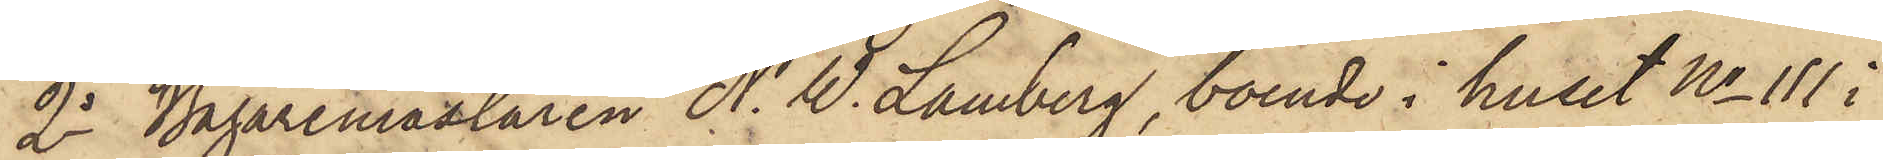2o Bagaremästaren N. W. Lamberg, boende i huset No 111 i
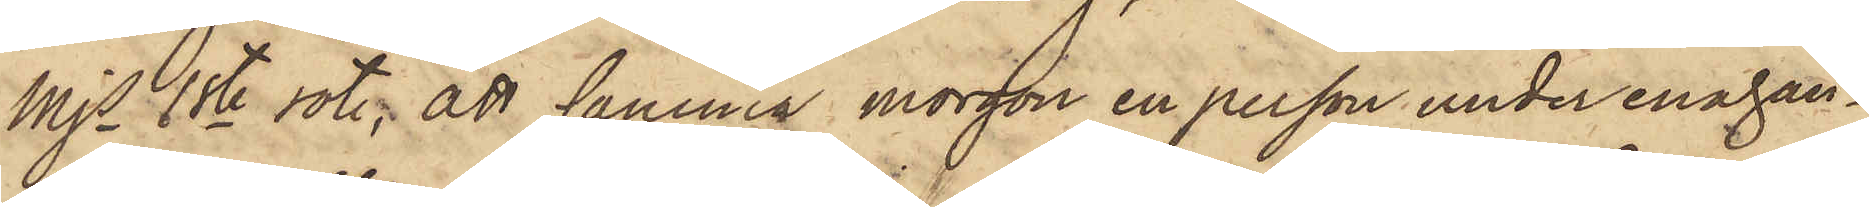Mjs 1ste rote, att samma morgon en person under enahan¬
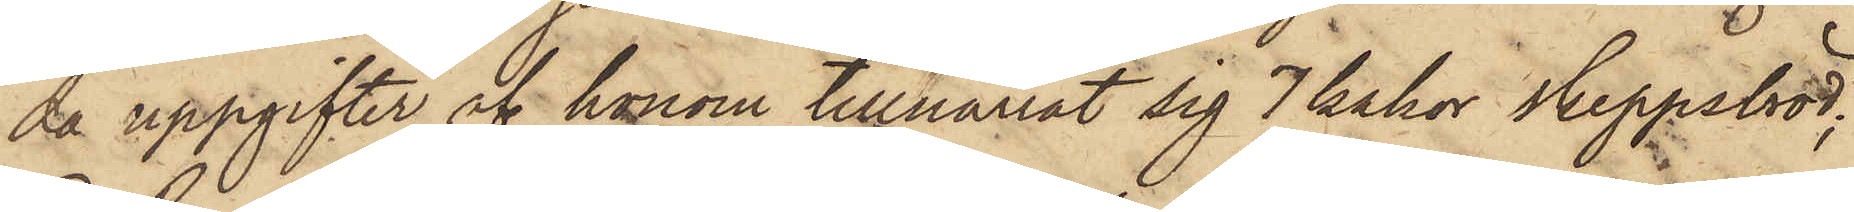da uppgifter af honom tillnarrat sig 7 kakor Skeppsbröd;
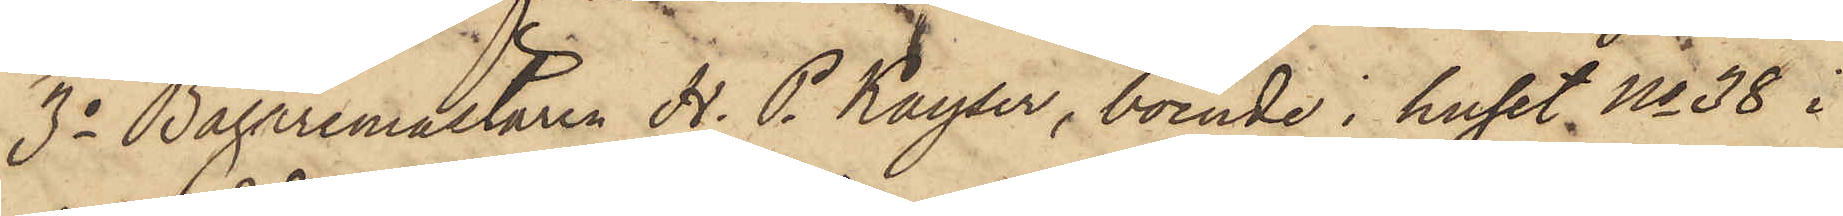3o Bagaremästaren H. P. Kayser, boende i huset No 36 i
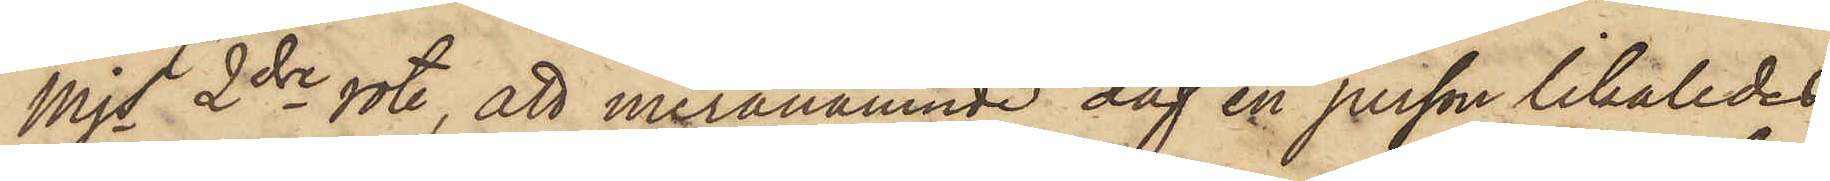Mjs 2dre rote, att meranämnde dag en person likaledes
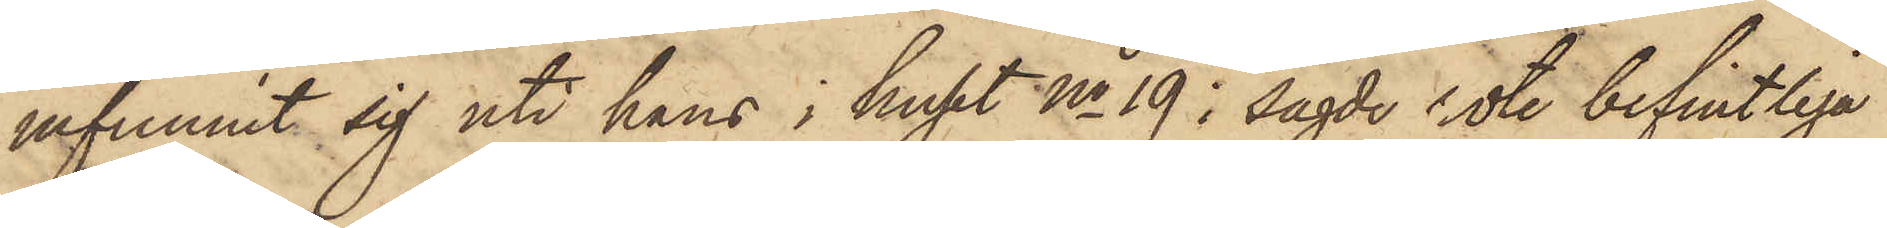infunnit sig uti hans i huset No 19 i sagde rote befintliga
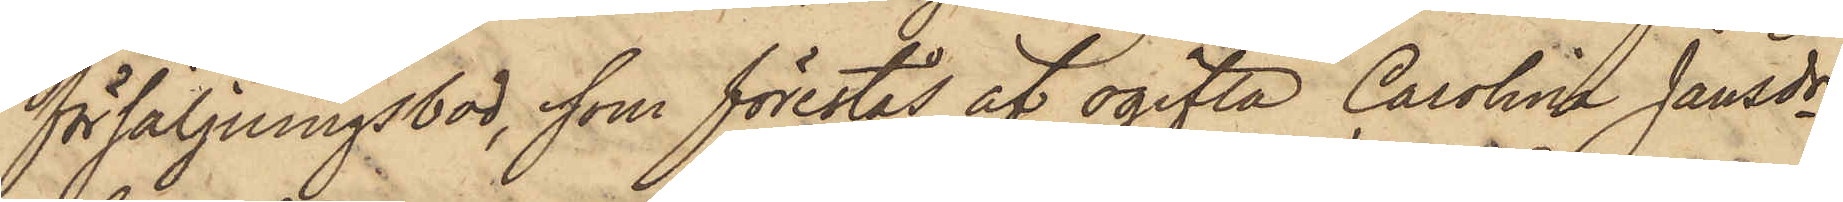försäljningsbod, som förestås af ogifta Carolina Jansdr
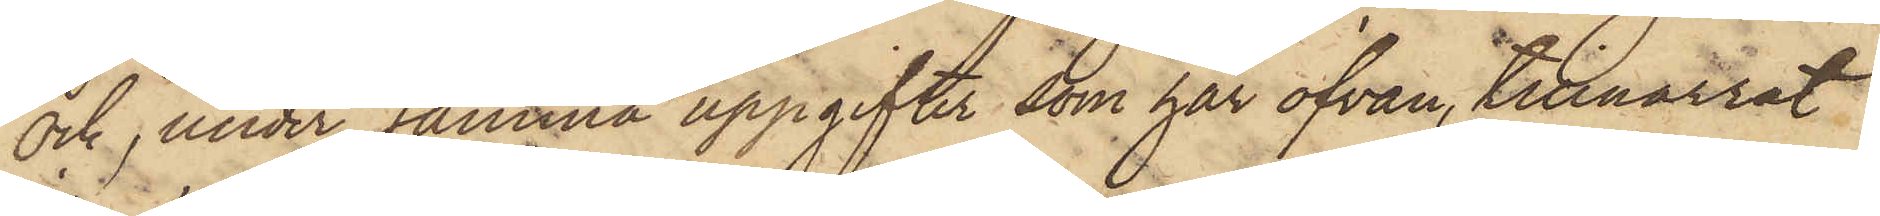och, under samma uppgifter som här ofvan, tillnarrat
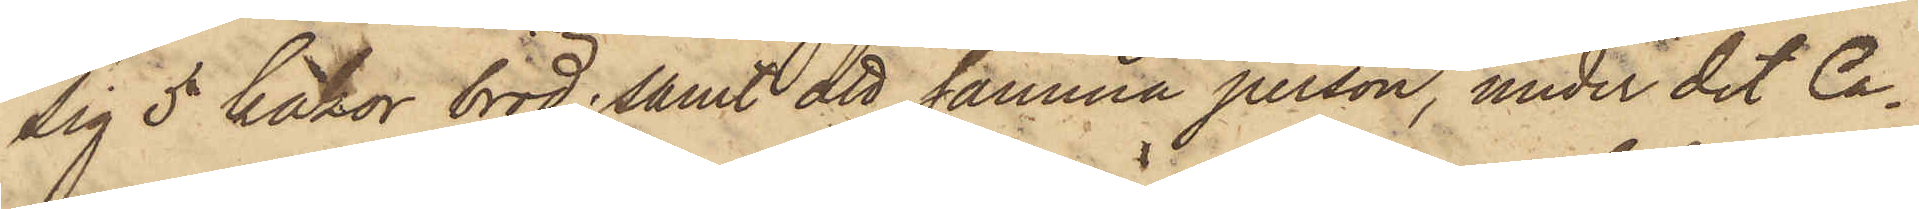sig 5 kakor bröd; samt att samma person, under det Ca¬
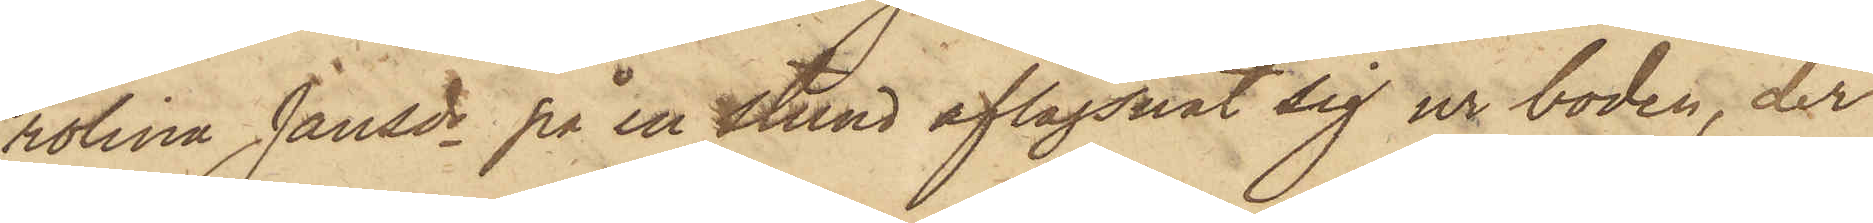rolina Jansdr på en stund aflägsnat sig ur boden, der
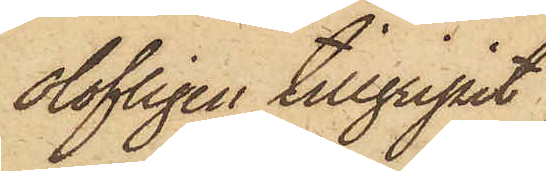olofligen tillgripit
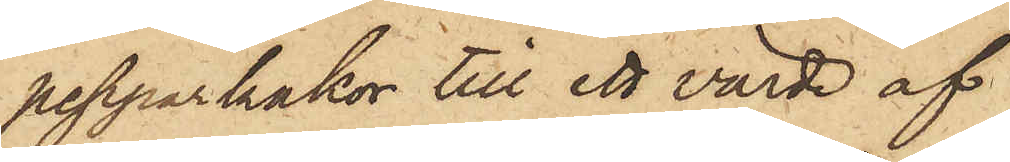pepparkakor till ett värde af
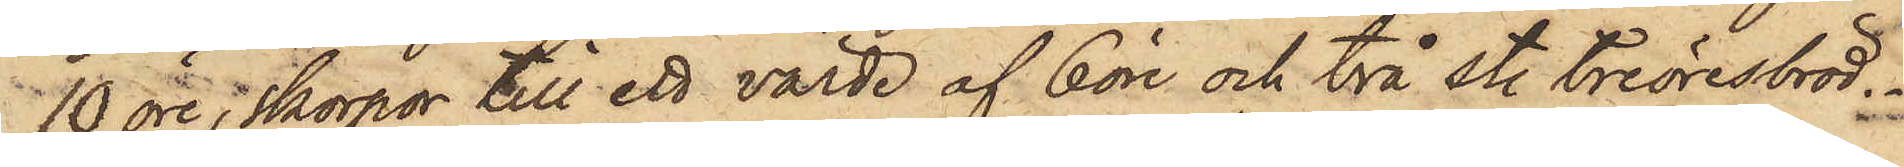10 öre; skorpor till ett värde af 6 öre och två st. treöresbröd.
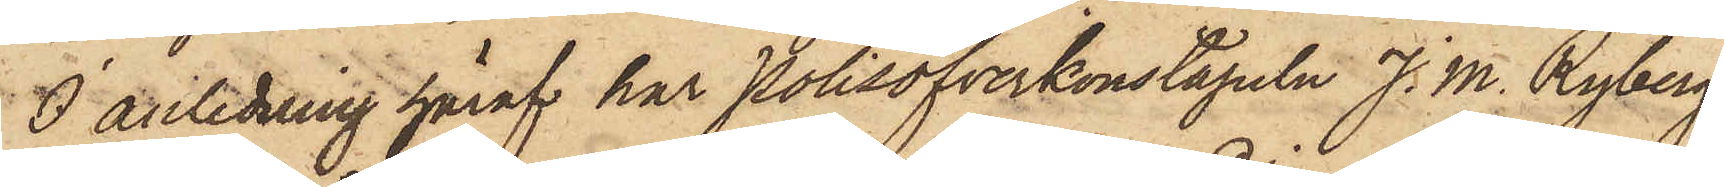I anledning häraf har Polisöfverkonstapeln J. M. Ryberg
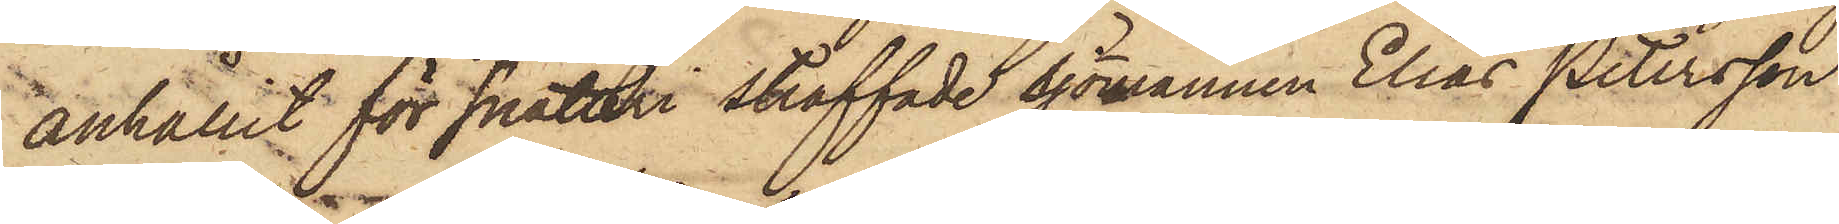anhållit för snatteri straffade sjömannen Elias Petersson
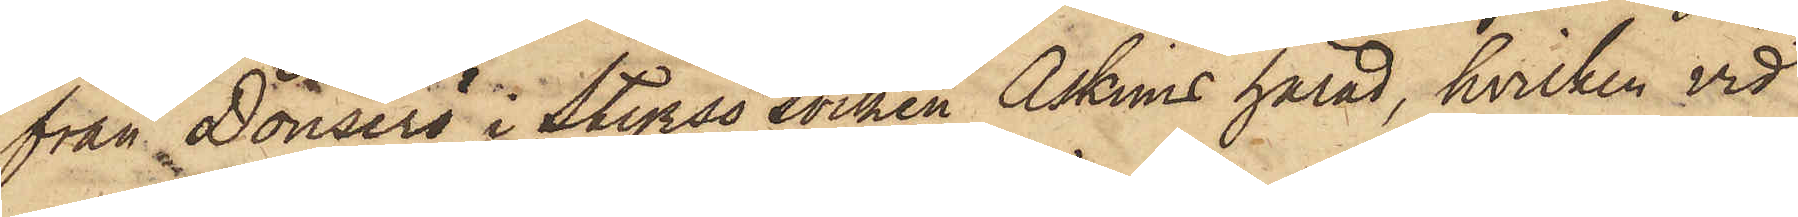från Donserö i Styrsö Socken Askims härad, hvilken vid
